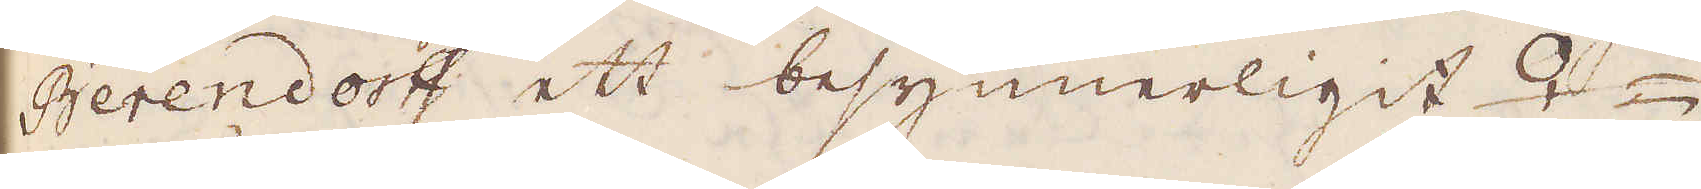Berendorff ett besynnerligit ♀-
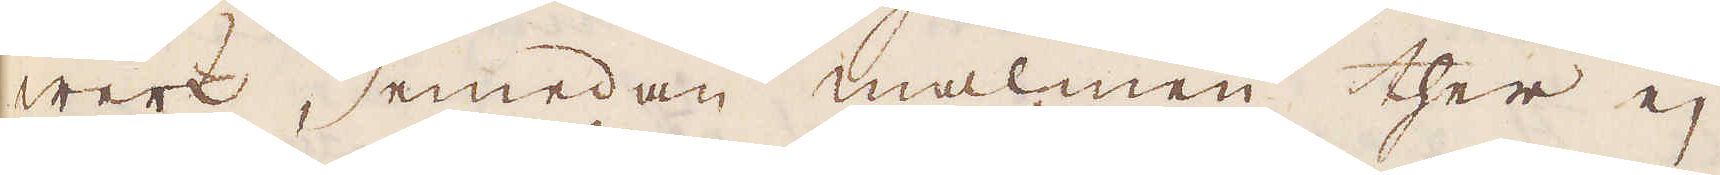werk, emedan malmen ther ej
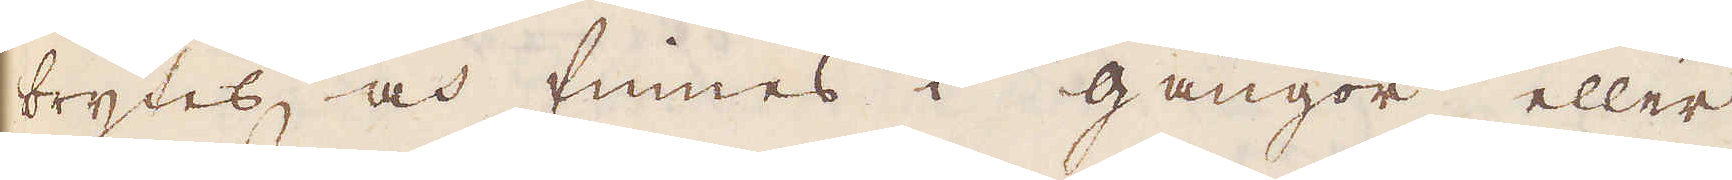brytes, och finnes i gångor eller
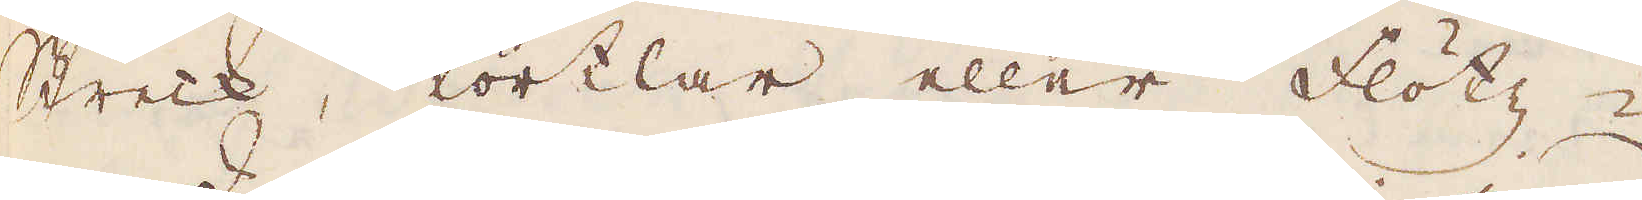Streck, körtlar eller flötz-
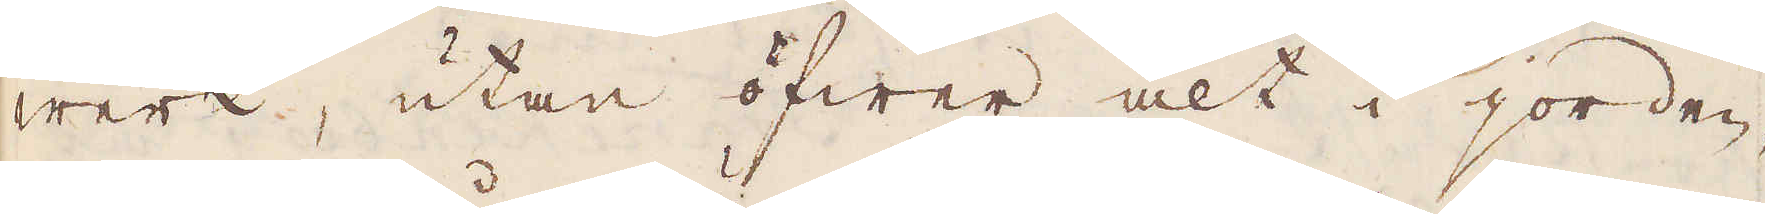werk, utan öfwer alt i jorden,
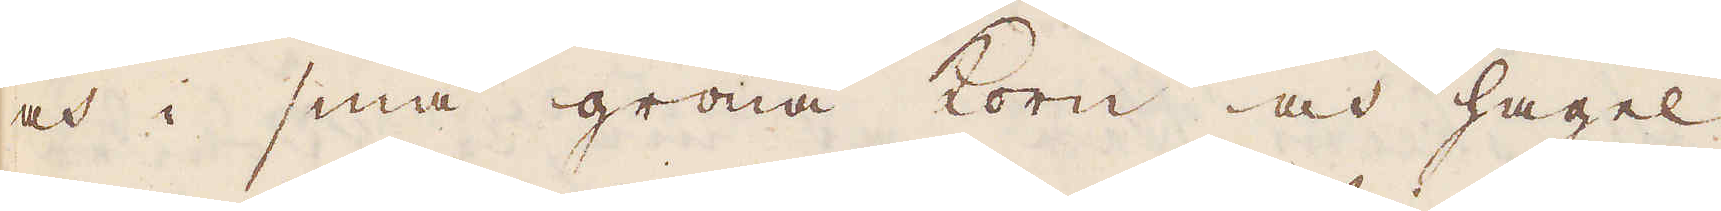och i små gröna korn och hagel
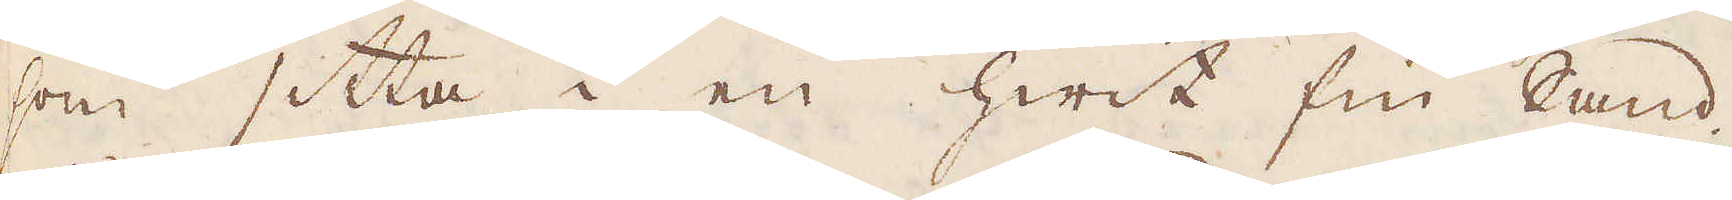som sitta i en hwit fin Sand.
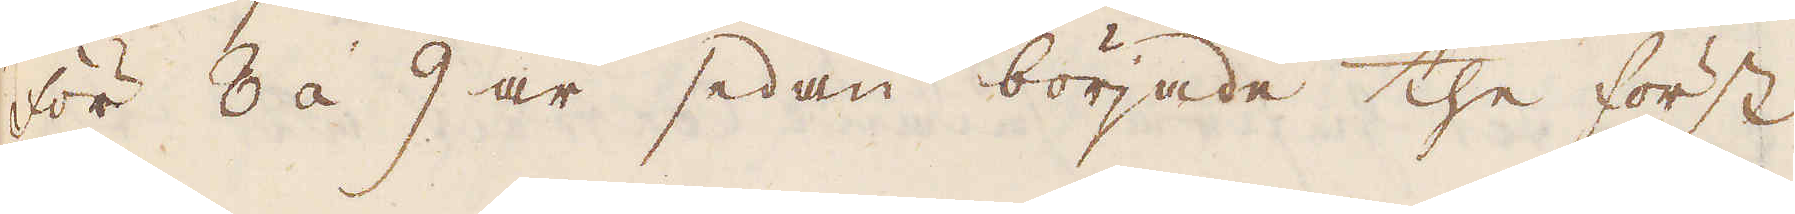För 8 á 9 år sedan började the först
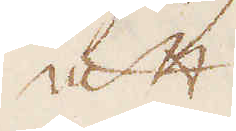att
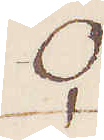♀
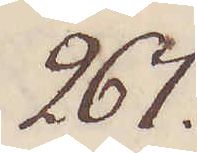267.
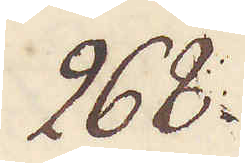268.
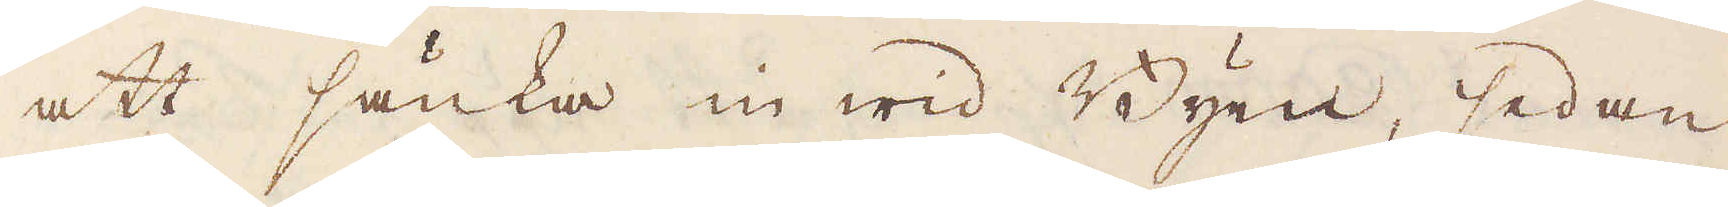att sänka in wid Byen, sedan
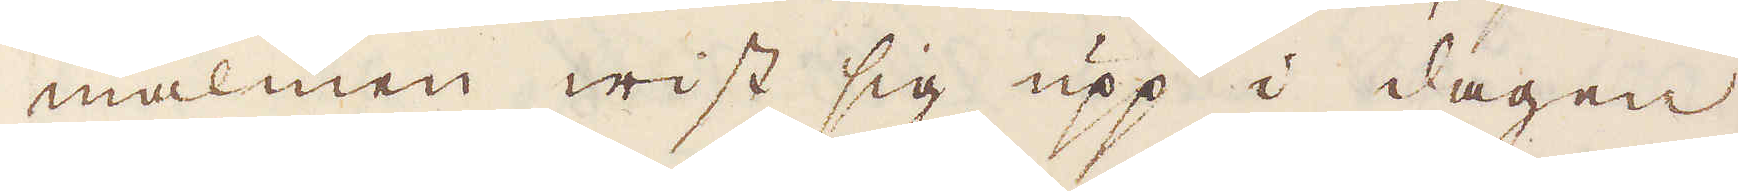malmen wist sig upp i dagen
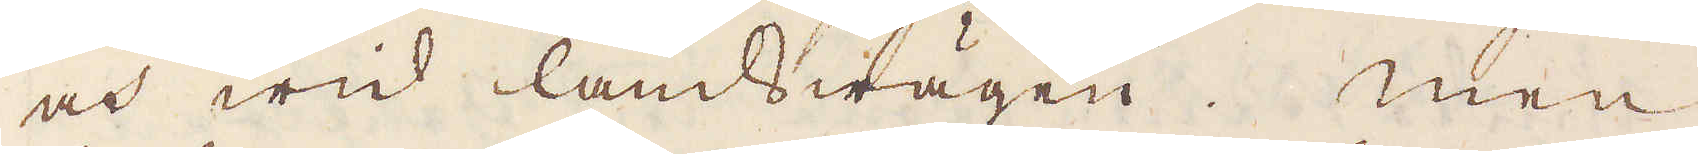och wid landswägen. Men
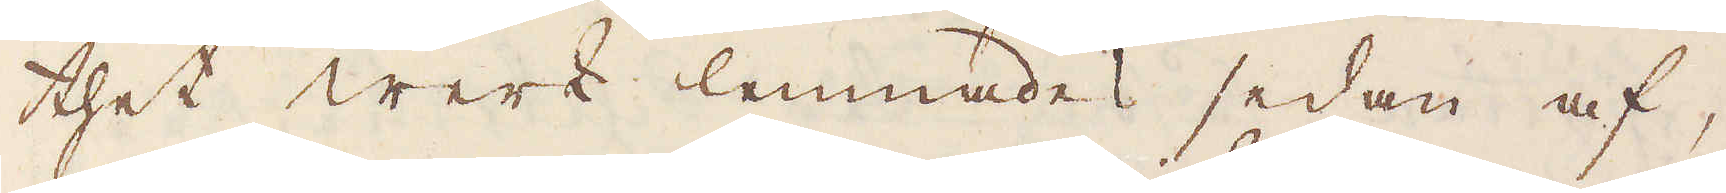thet werk lemnades sedan af,
